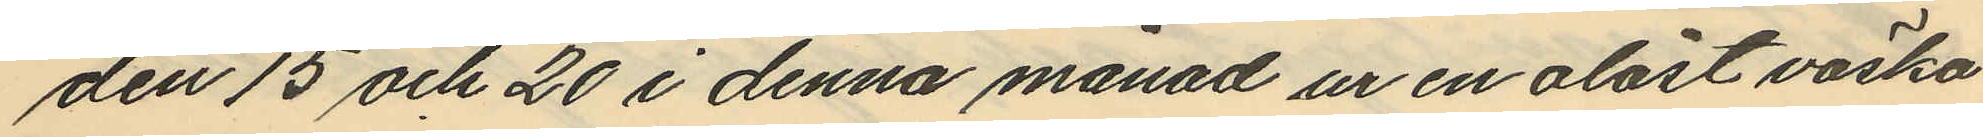den 15 och 20 i denna månad ur en olåst väska
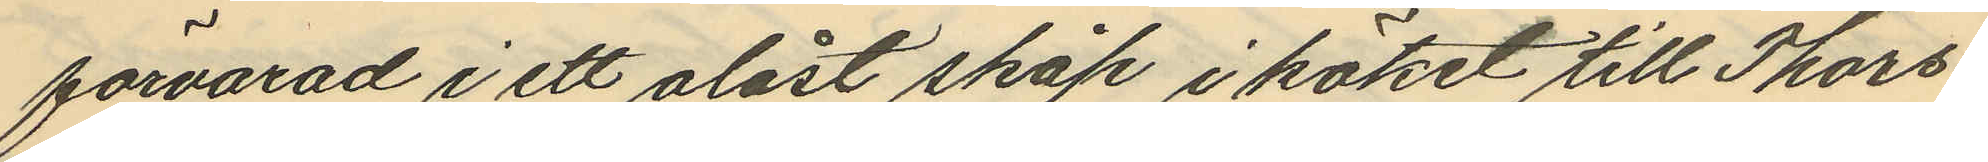förvarad i ett olåst skåp i köket till Thors¬
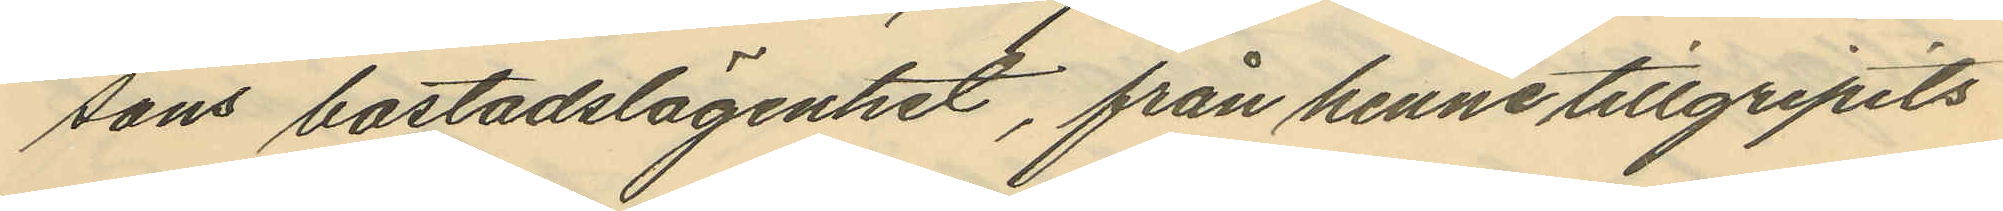sons bostadslägenhet, från henne tillgripits
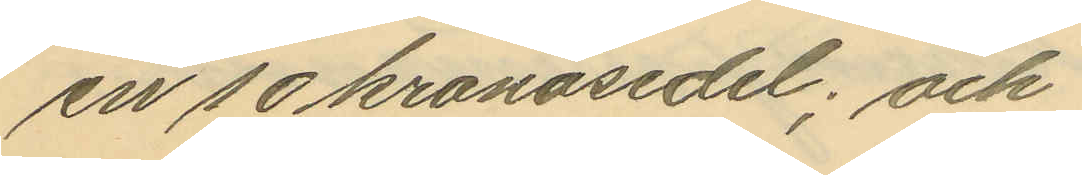en 10 kronosedel; och
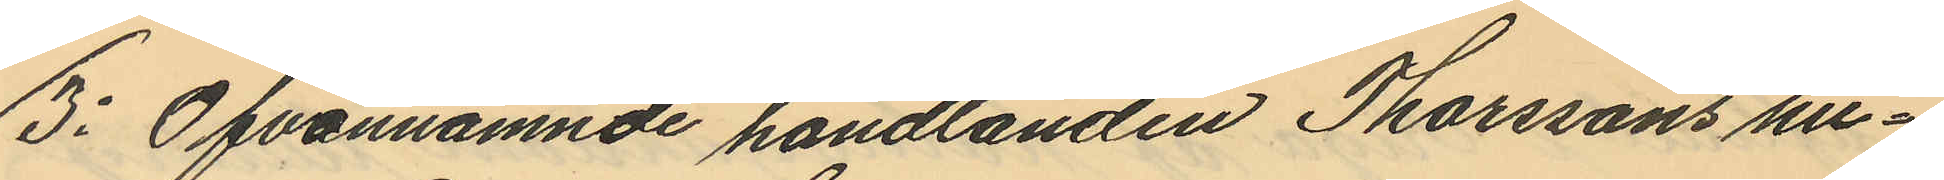3: Ofvannämnde handlanden Thorssons hu¬
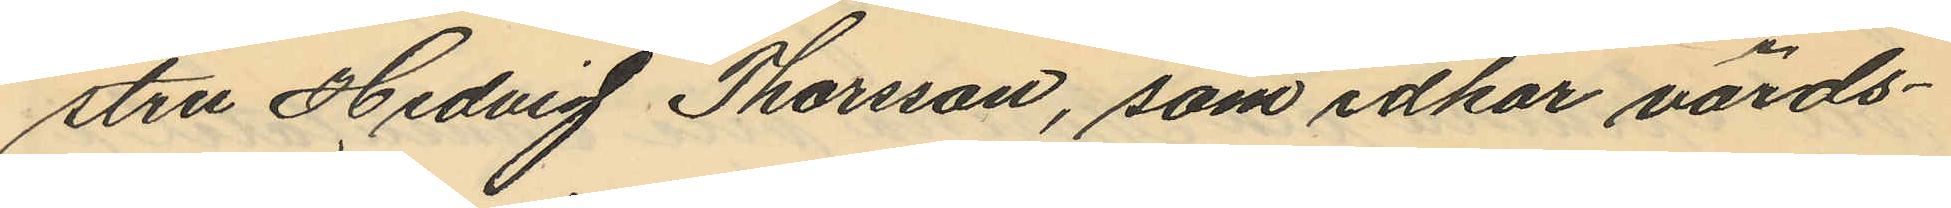stru Hedvig Thorsson, som idkar värds¬
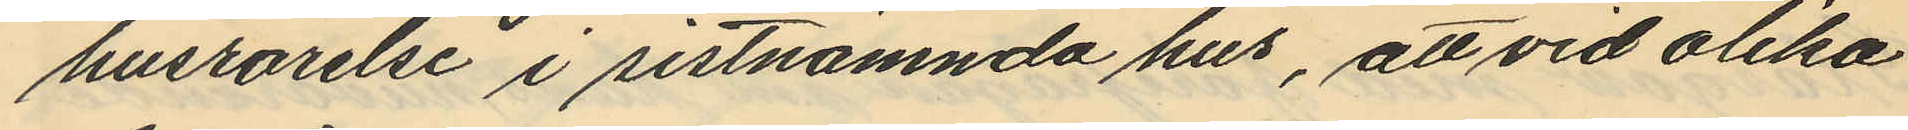husrörelse i sistnämnda hus, att vid olika
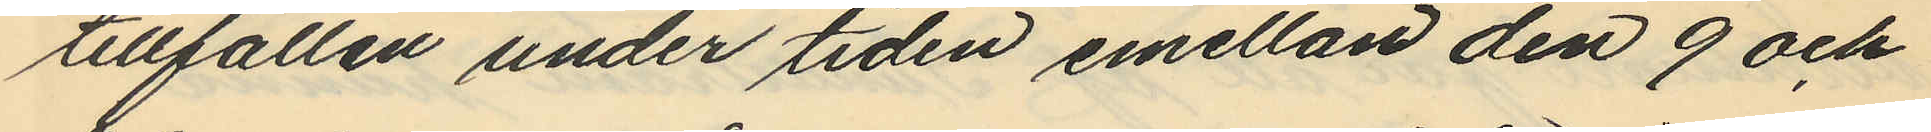tillfällen under tiden emellan den 9 och
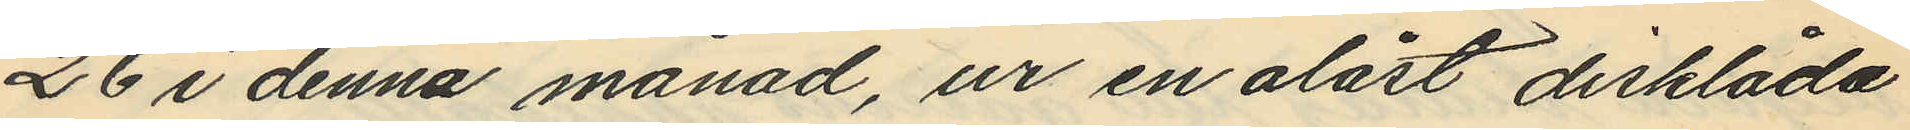26 i denna månad, ur en olåst disklåda
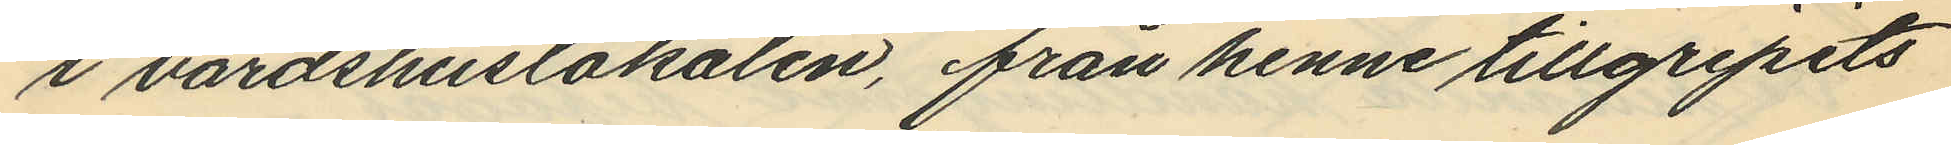i värdshuslokalen, från henne tillgripits
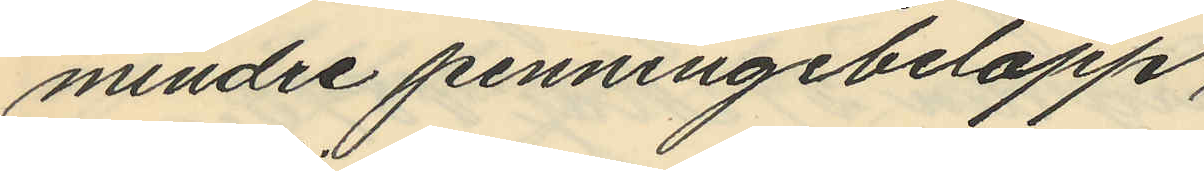mindre penningebelopp
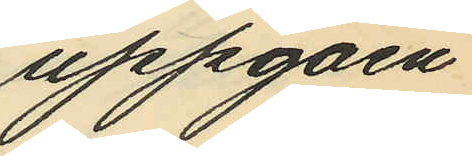uppgåen
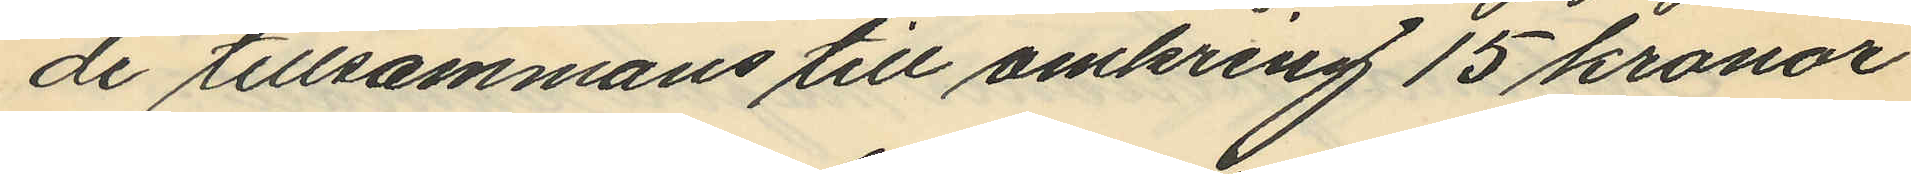de tillsammans till omkring 15 kronor
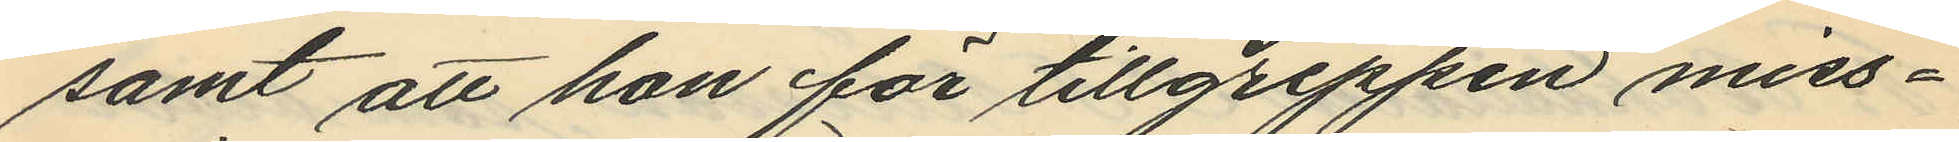samt att hon för tillgreppen miss¬
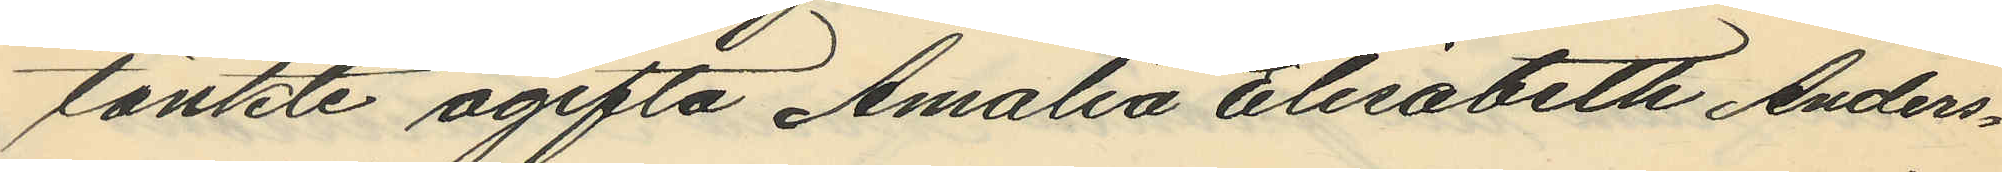tänkte ogifta Amalia Elisabeth Anders¬
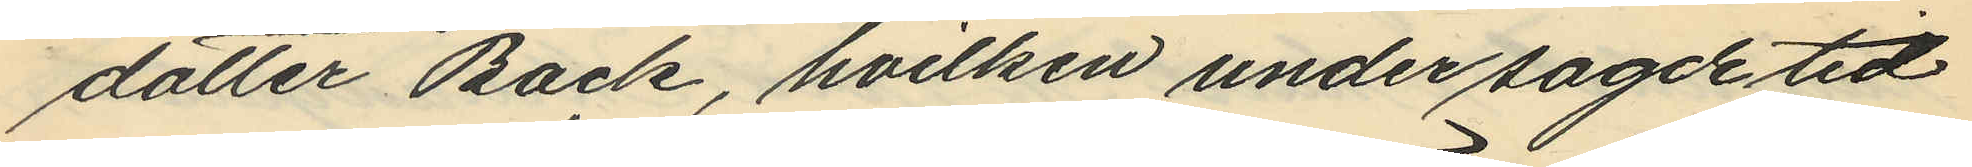dotter Back, hvilken under sagde tid
